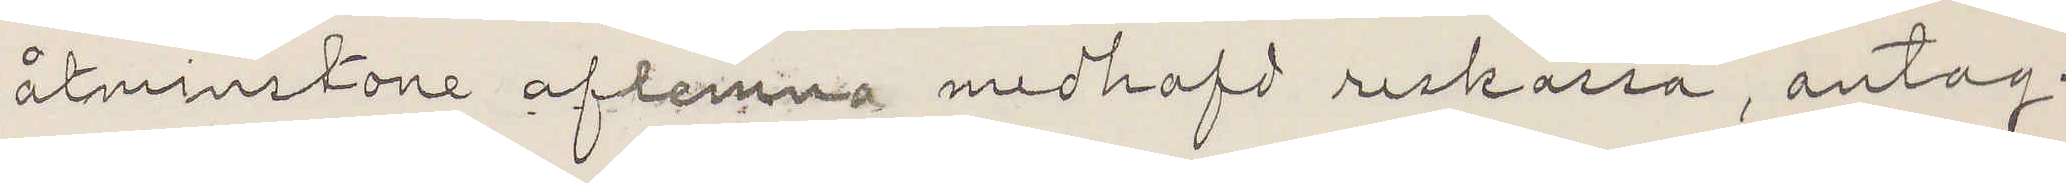åtminstone aflemna medhafd reskassa, antag¬
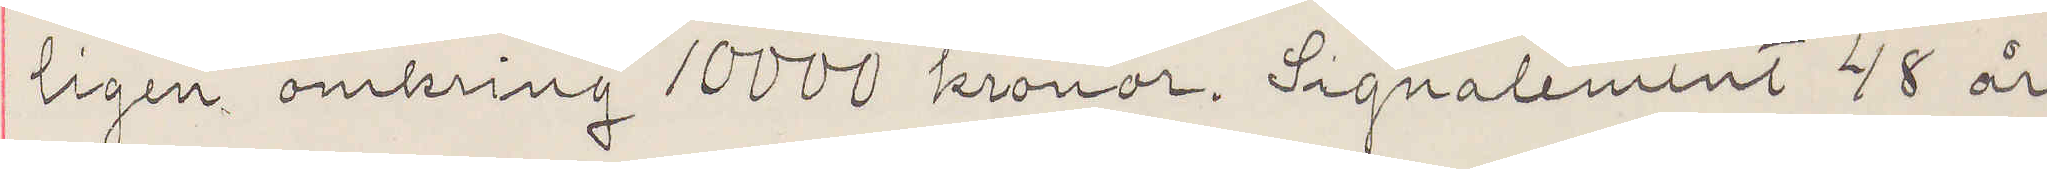ligen omkring 10000 kronor. Signalement 48 år
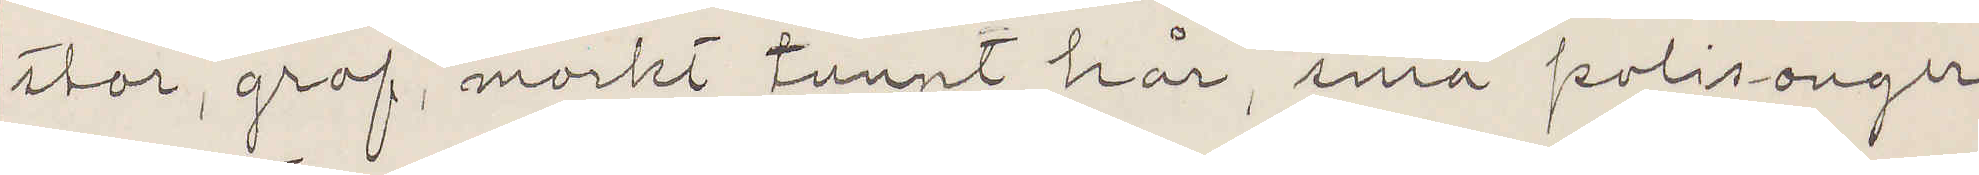stor, grof, morkt tunnt hår, små polisonger,
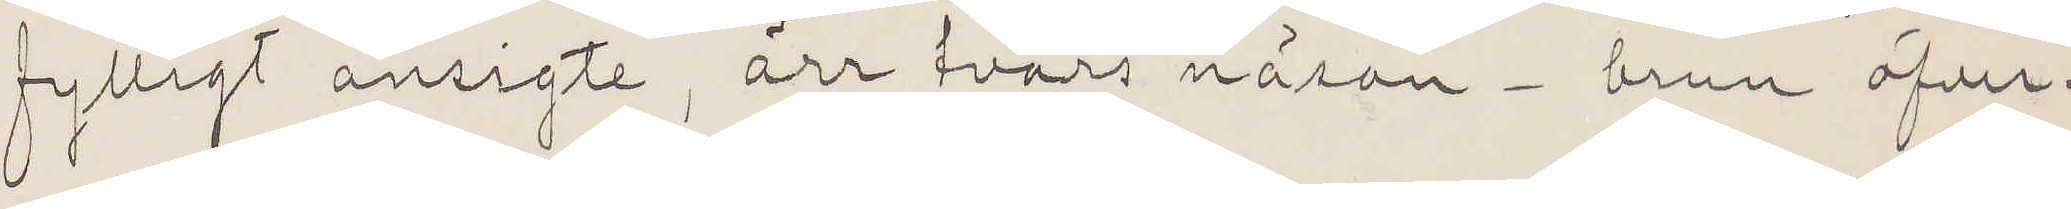fylligt ansigte, ärr tvärs näsan. brun öfver¬
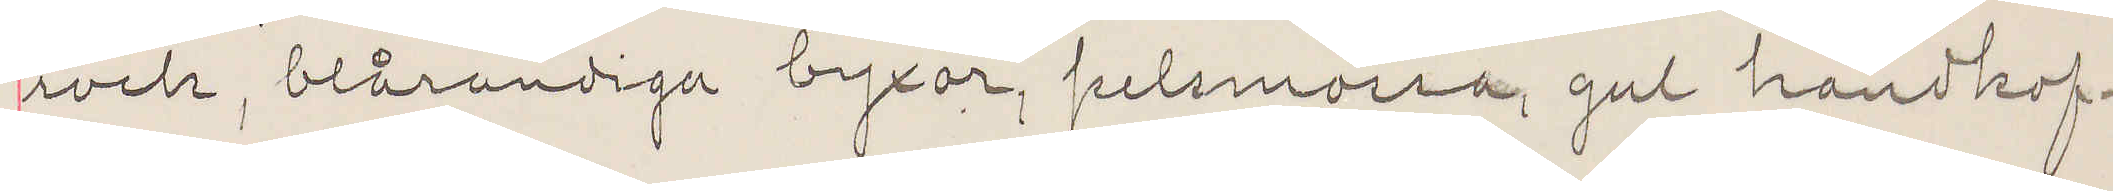rock, blårandiga byxor, pelsmossa, gul handkof¬
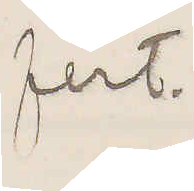fert.
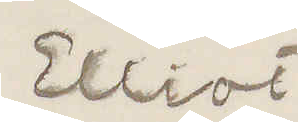Elliot
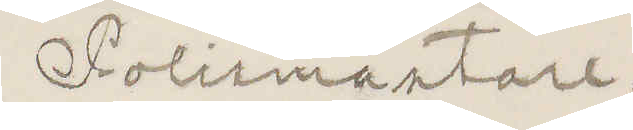Polismästare.
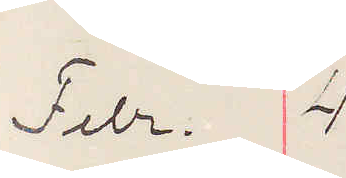Febr. 4
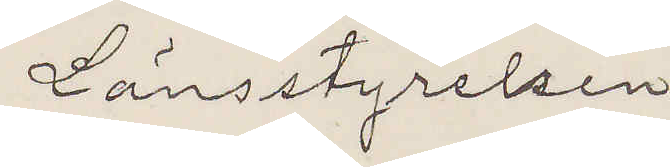Länsstyrelsen
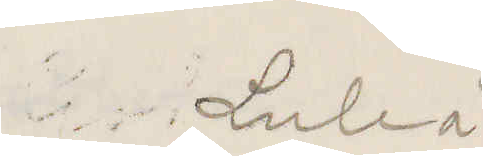Luleå
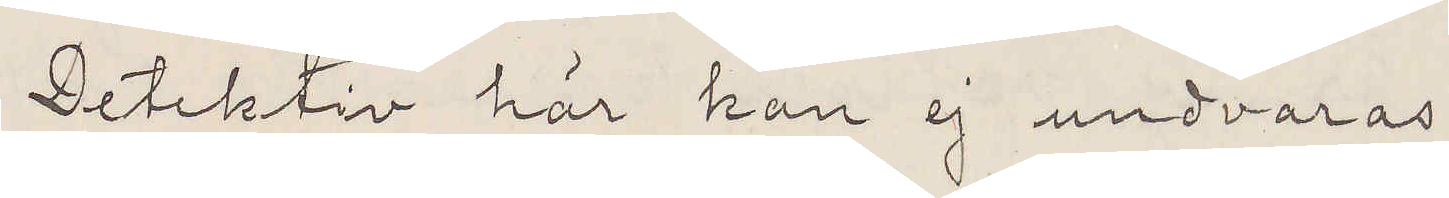Detektiv här kan ej undvaras
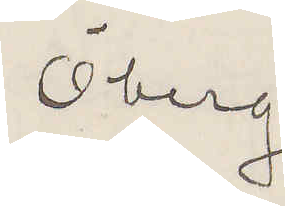Öberg
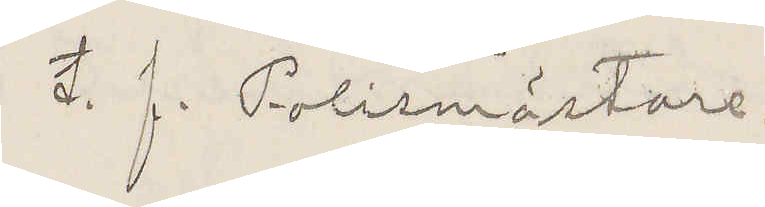t. f. Polismästare.
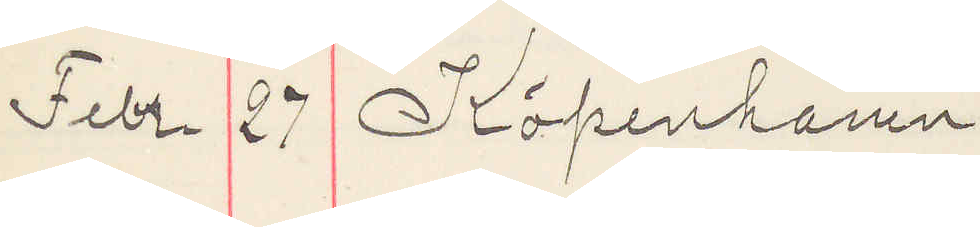Febr 27 Köpenhamn
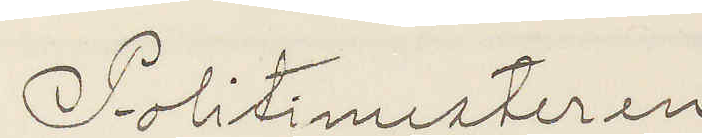Politimesteren
